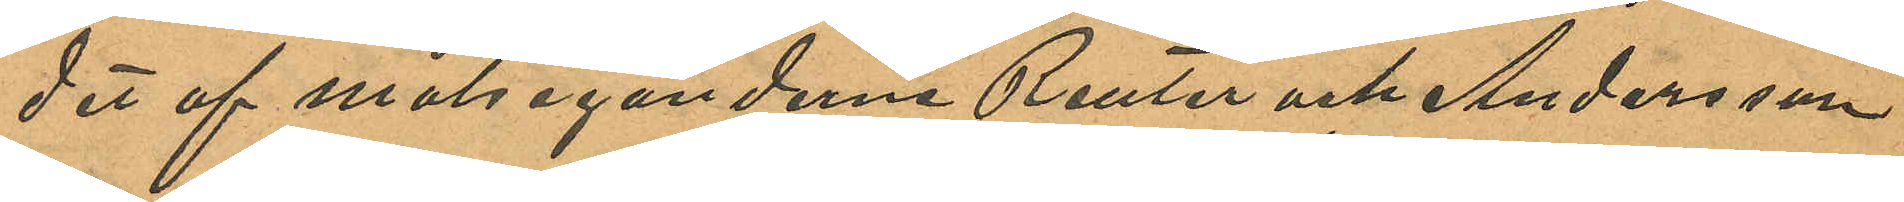det af målseganderna Reuter och Andersson
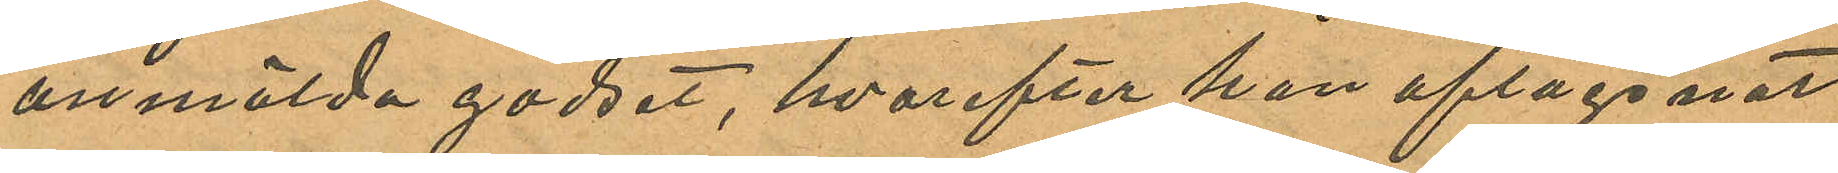anmälda godset, hvarefter han aflägsnat
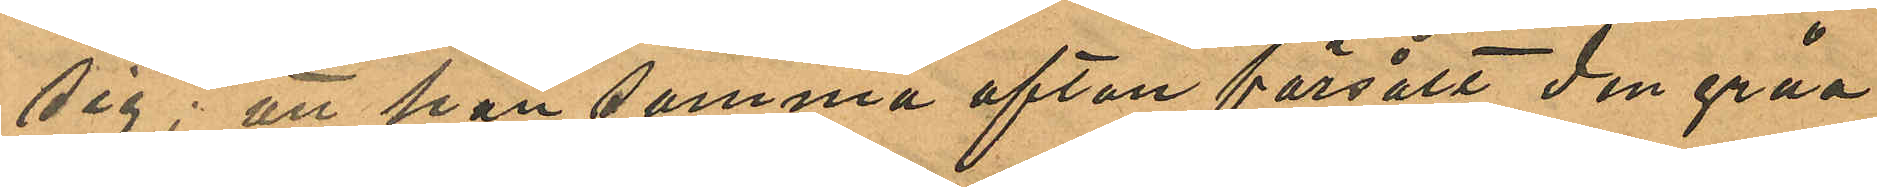sig; att han samma afton försålt den gråa
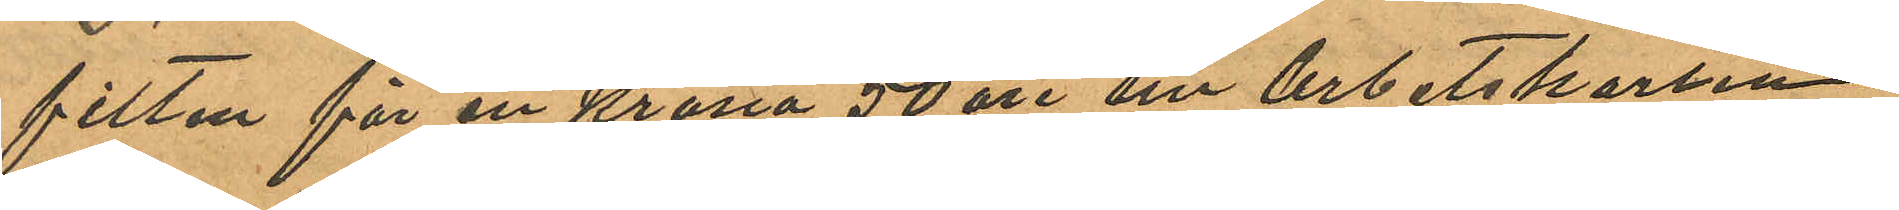filten för en Krona 50 öre till arbetskarlen
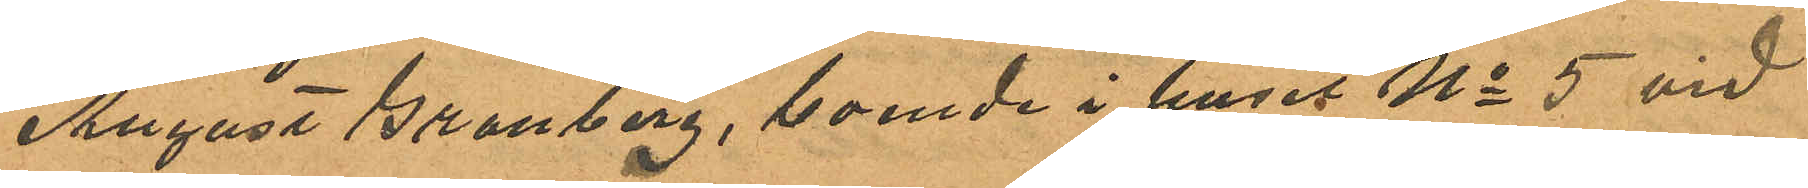August Granberg, boende i huset No 5 vid
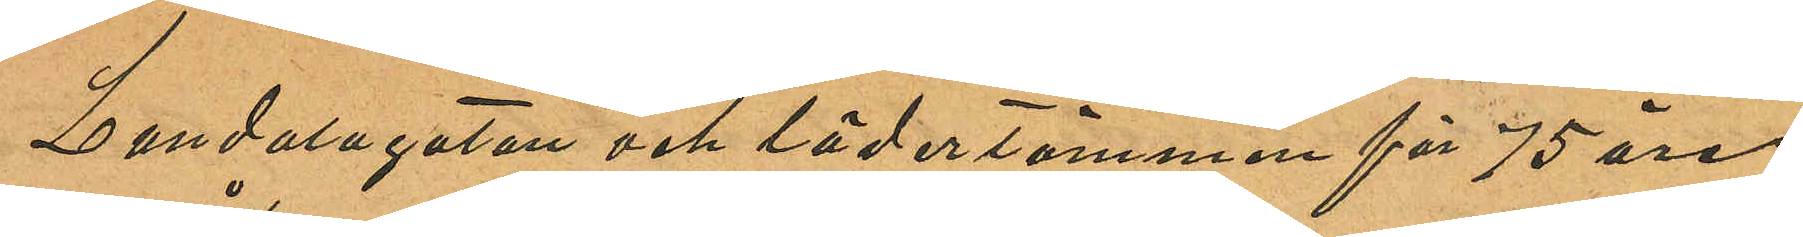Landalagatan och lädertömmen för 75 öre
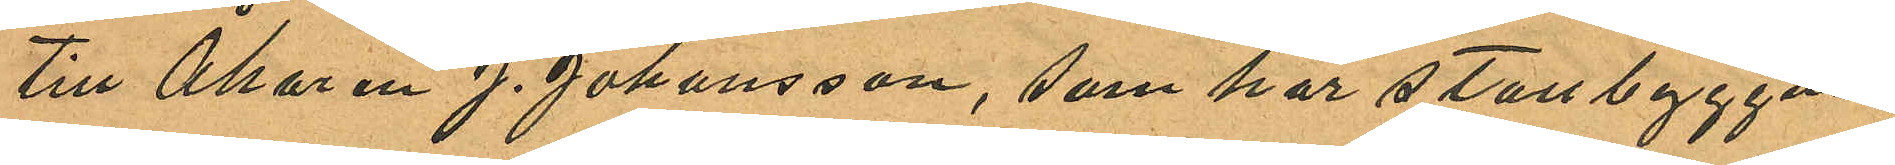till Åkaren J. Johansson, som har stallbyggnad
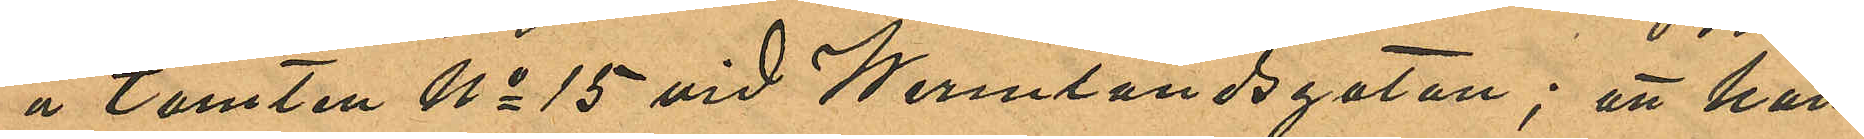å tomten No 15 vid Wermlandsgatan; att han
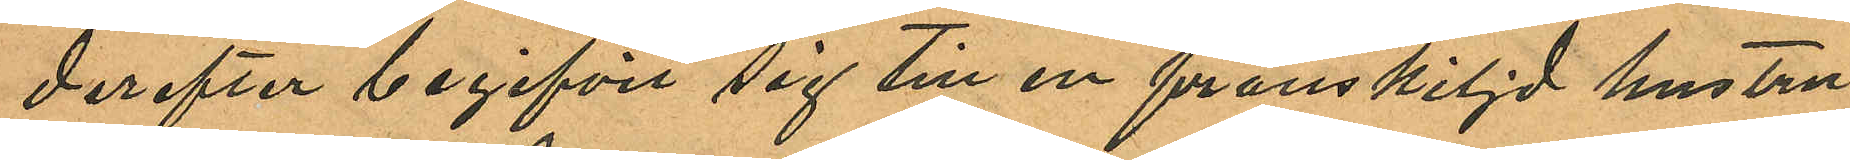derefter begifvit sig till en frånskiljd hustru
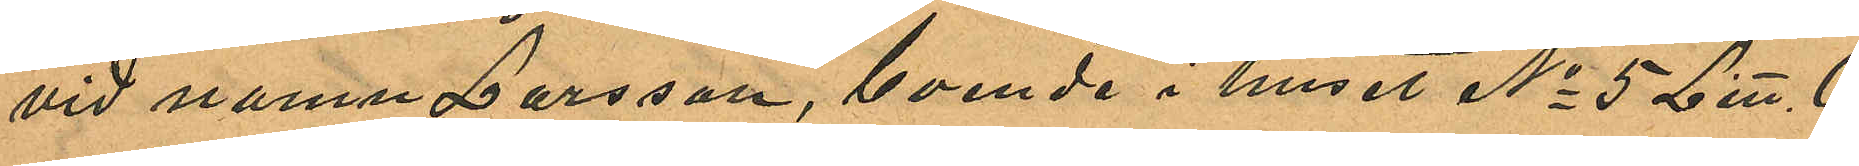vid namn Larsson, boende i huset No 5 Litt. O
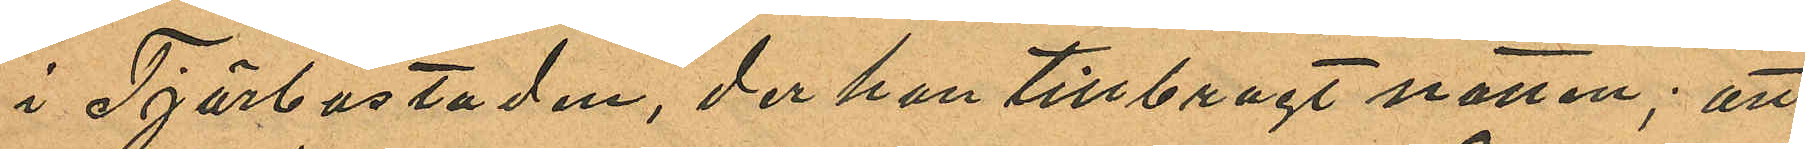i Tjörbostaden, der han tillbragt natten; att
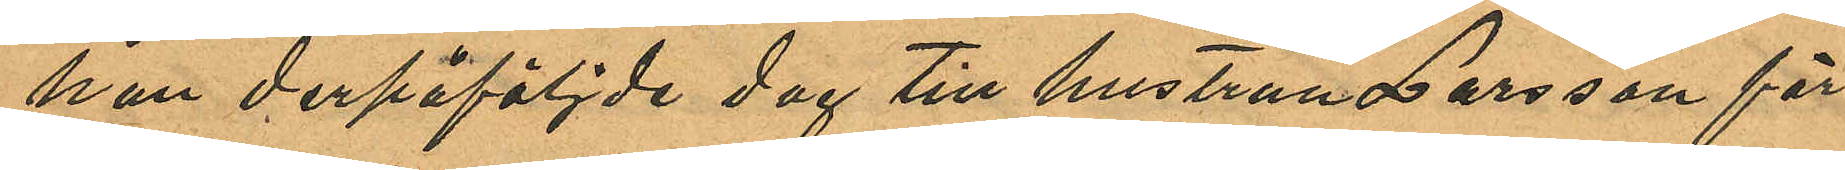han derpåföljde dag till hustrun Larsson för
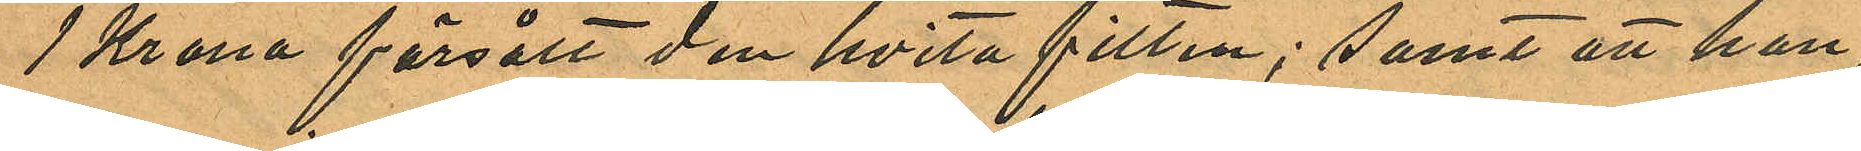1 Krona försålt den hvita filten; samt att han
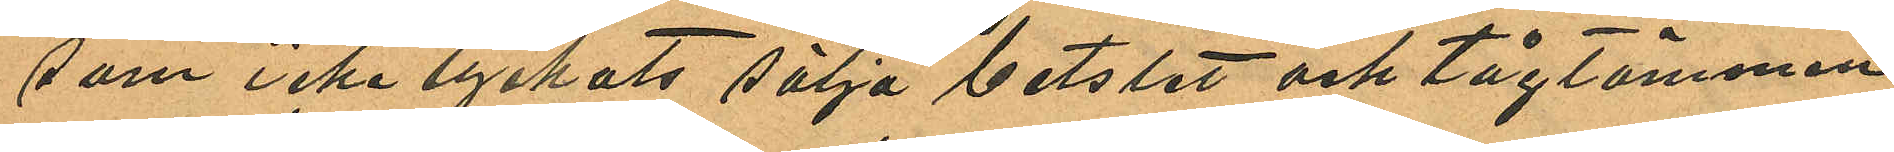som icke lyckats sälja betslet och tågtömmen
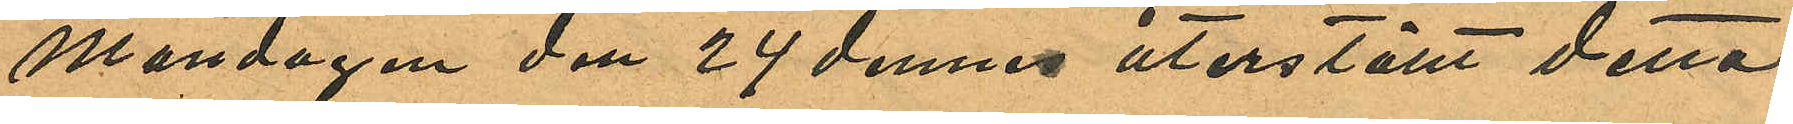Måndagen den 24 dennes återställt detta
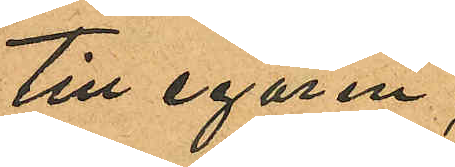till egaren.
